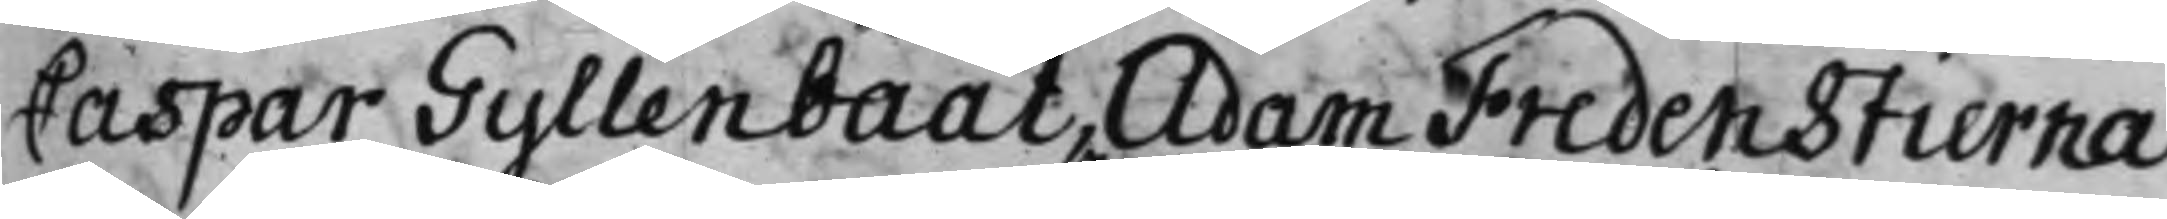Caspar Gyllenbååt, Adam Fredenstierna,
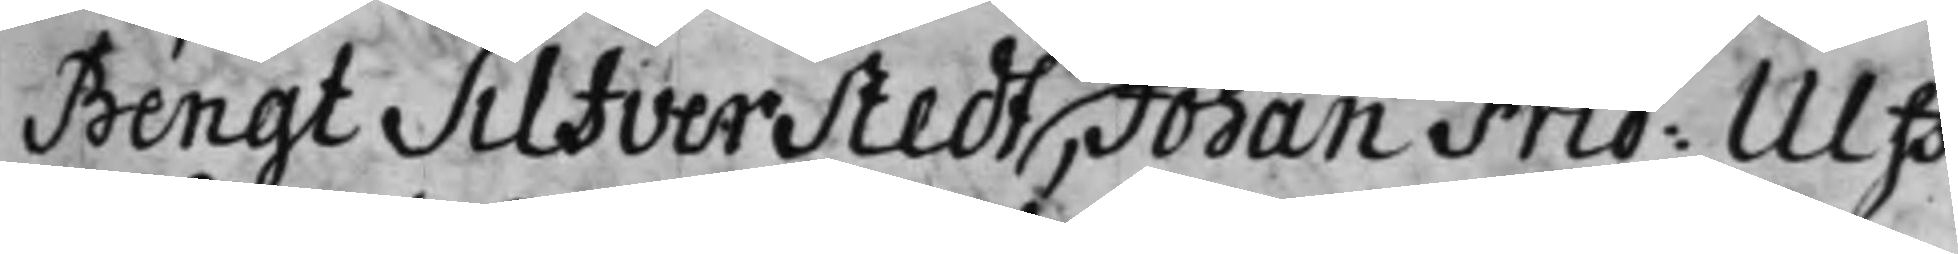Bengt Silfverstedt, Johan Frid: Ulff,
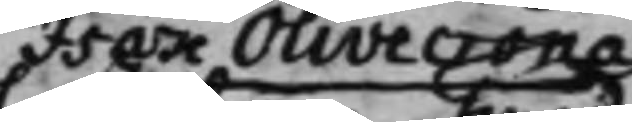Isak Olivecrona
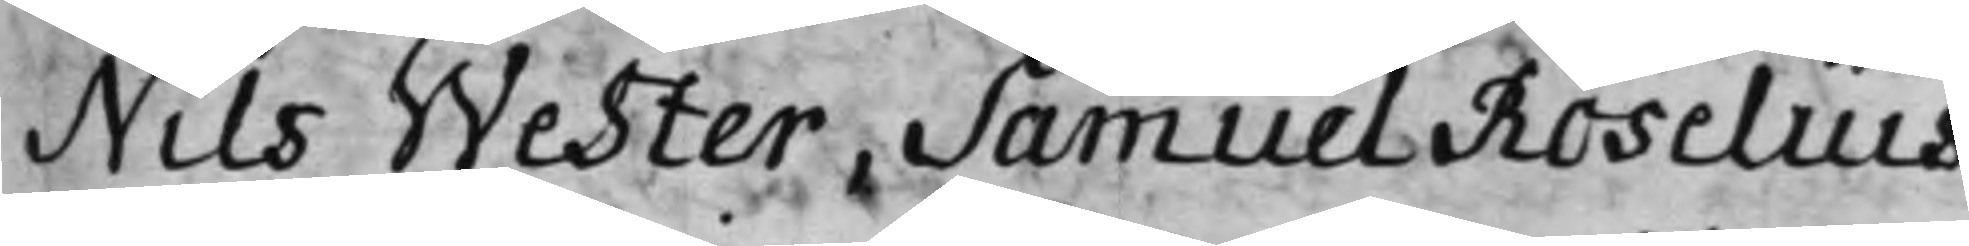Nils Wester, Samuel Roselius,
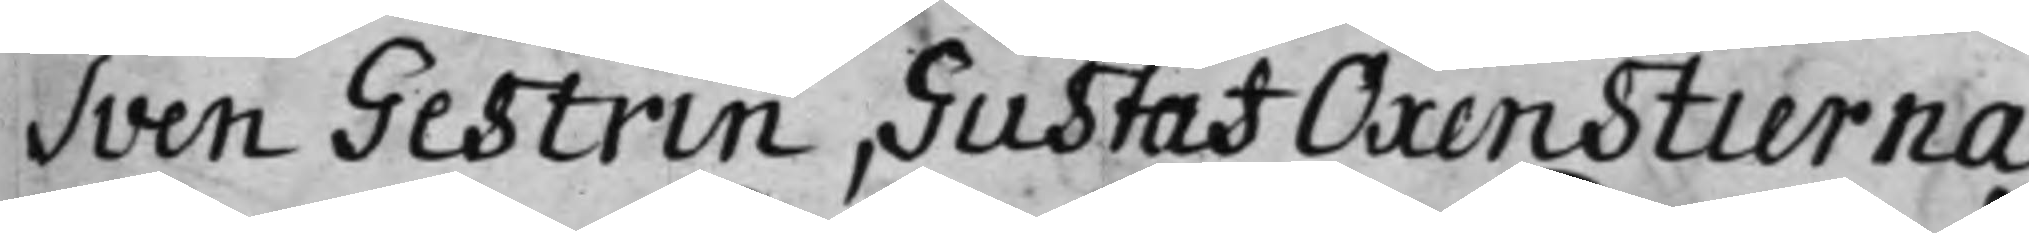Sven Gestrin, Gustaf Oxenstierna,
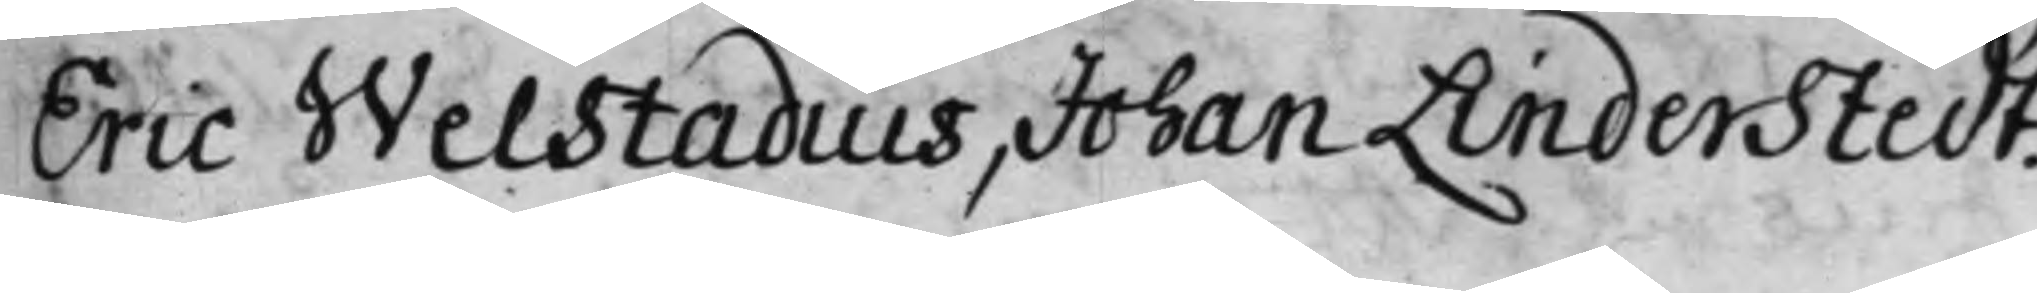Eric Welstadius, Johan Linderstedt.
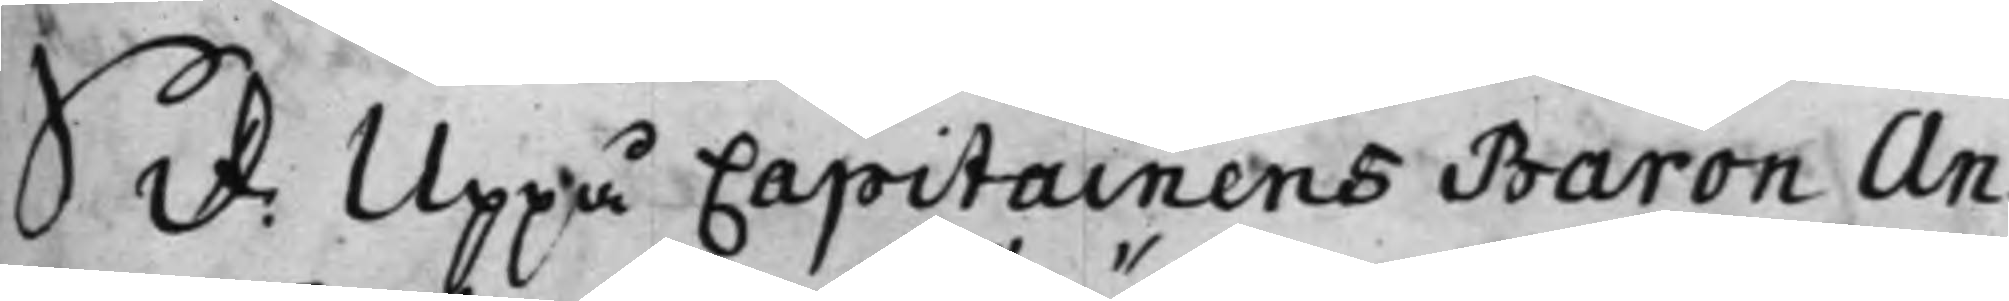S. d: Uppå Capitainens Baron An¬
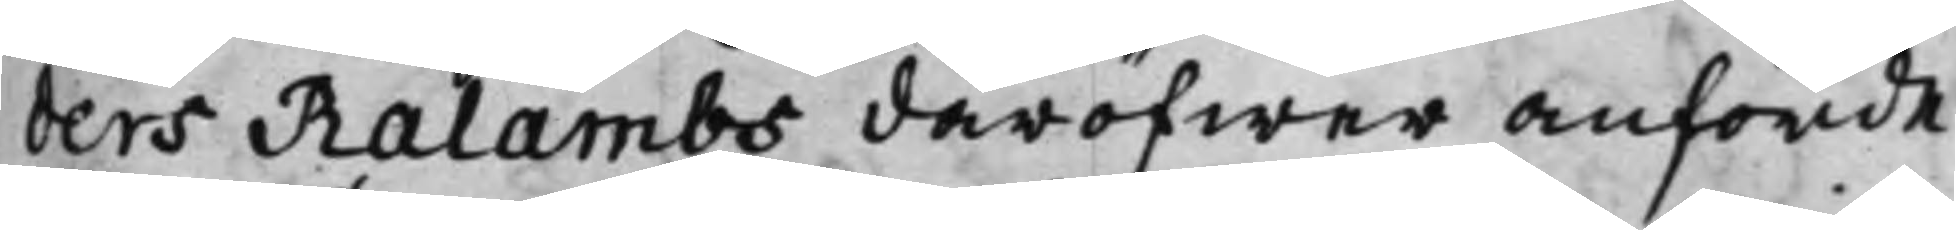ders Ralambs däröfwer anförde
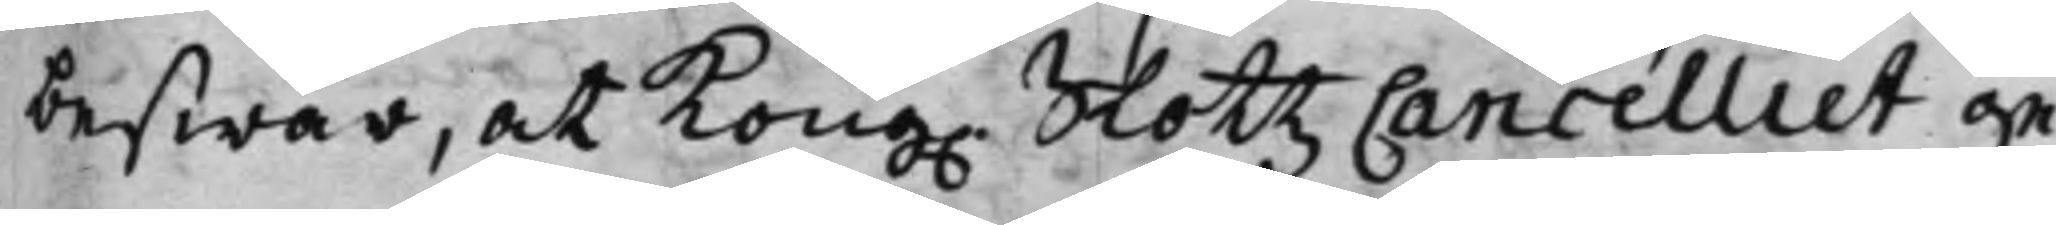beswär, at Kong. SlottzCancelliet ge¬
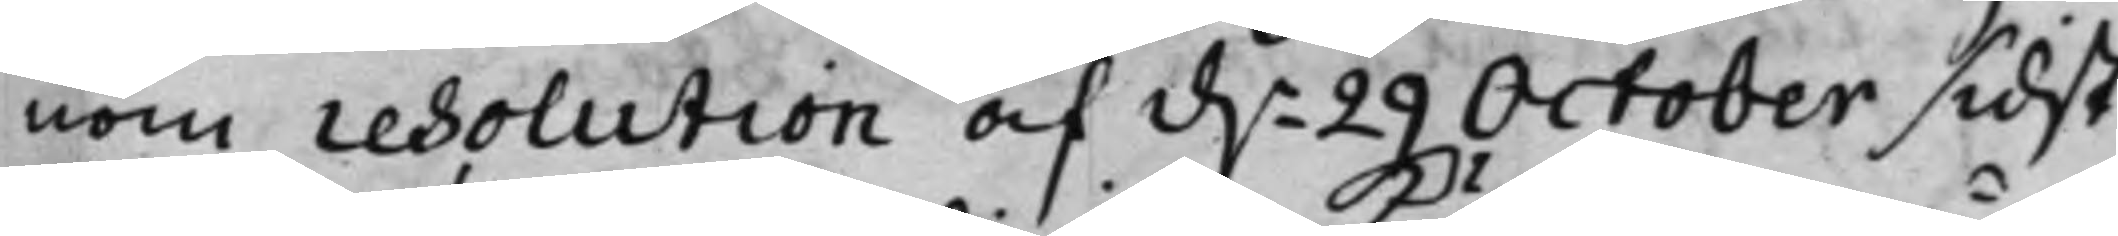nom resolution af d.n 29 October sidst¬
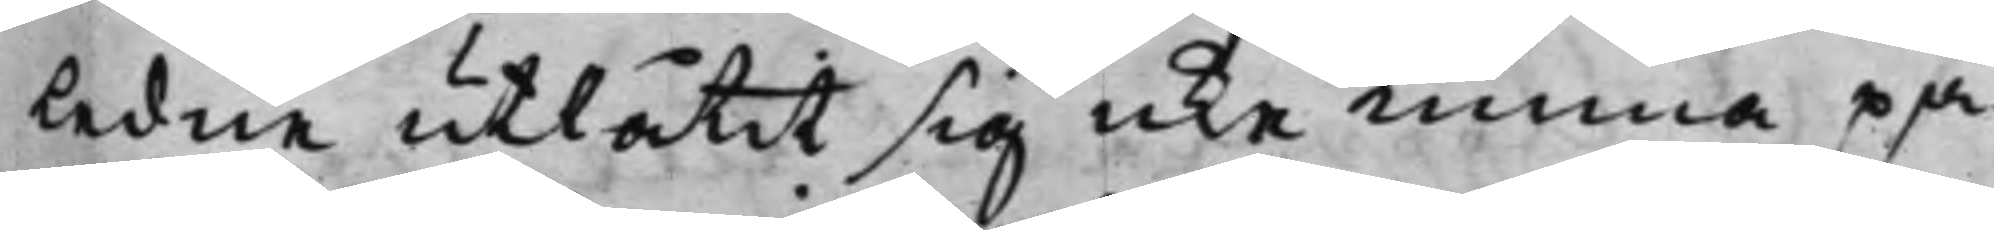ledne utlåtit sig icke Kunna på¬
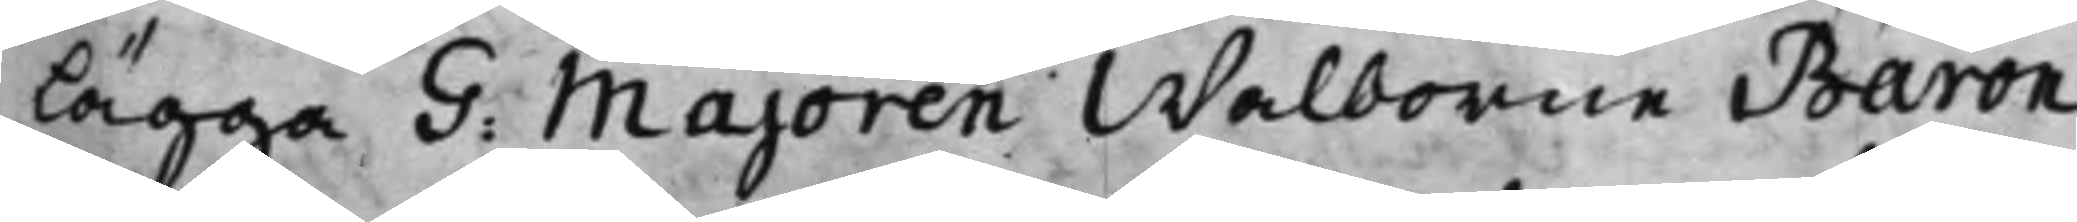lägga G. Majoren Walborne Baron
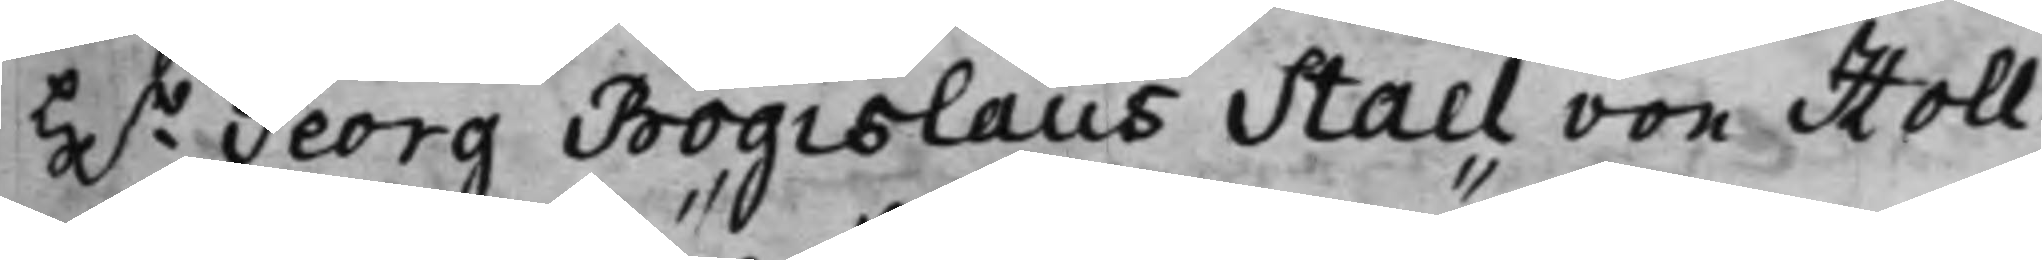H.r Georg Bogislaus Stael von Holl¬
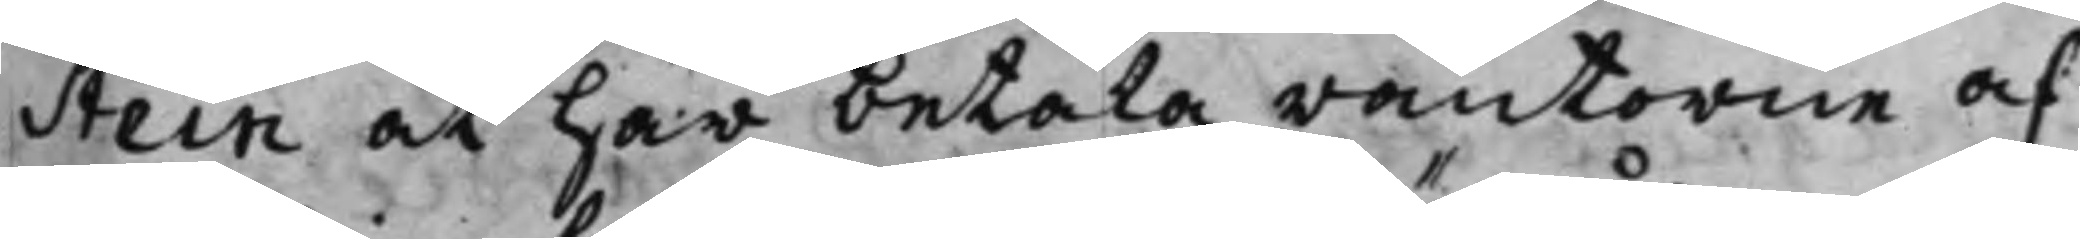Stein at här betala räntorne af
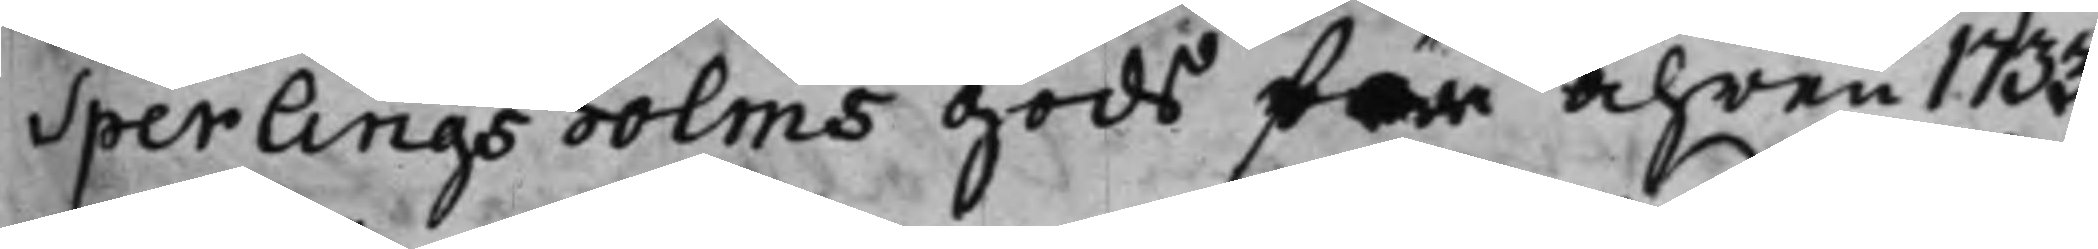Sperlingsholms gods för Åhren 1733
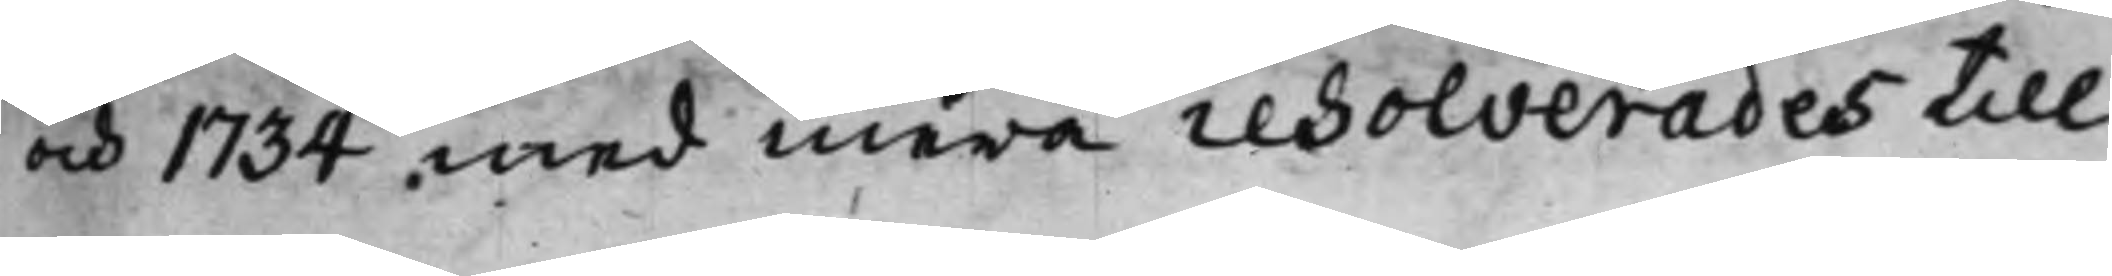och 1734 med mera resolverades till
